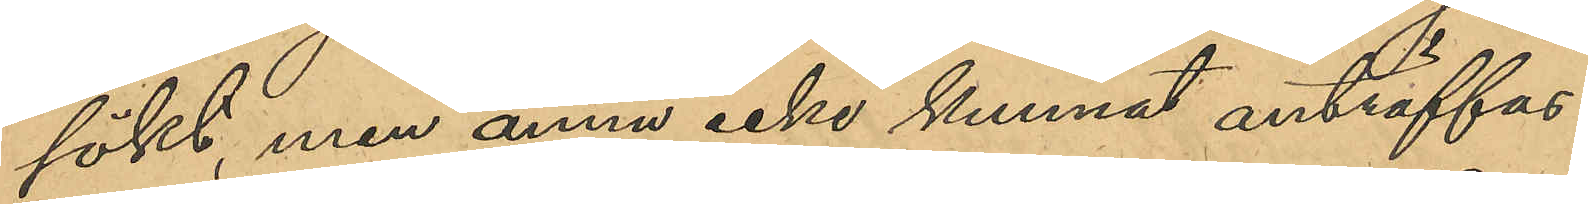sökt, men ännu icke kunnat anträffas.
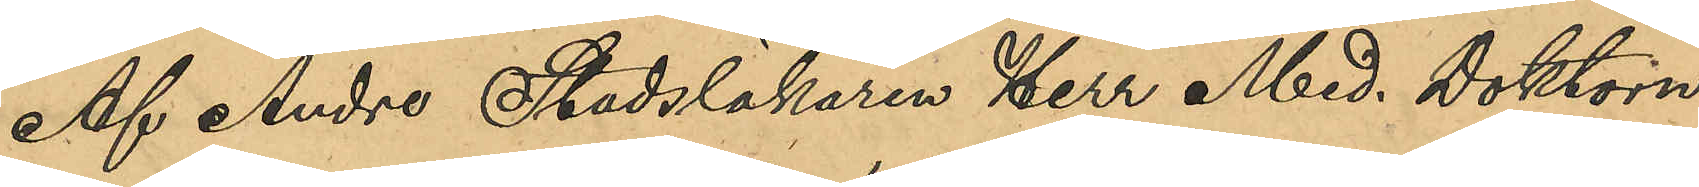Af Andre Stadsläkaren Herr Med. Doktorn
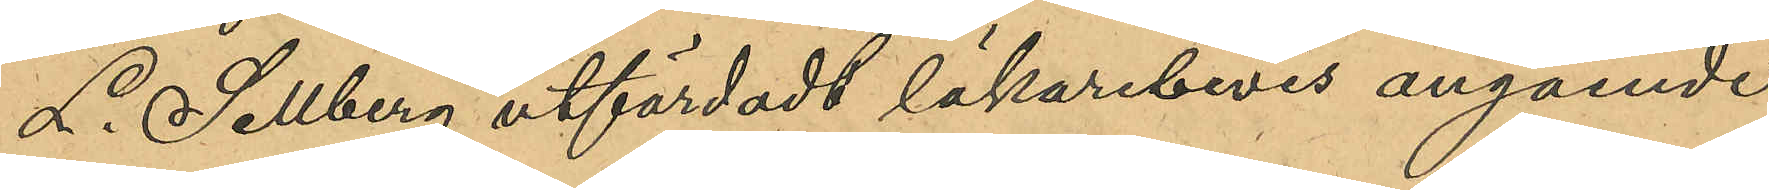L. Sellberg utfärdadt läkarbevis angående
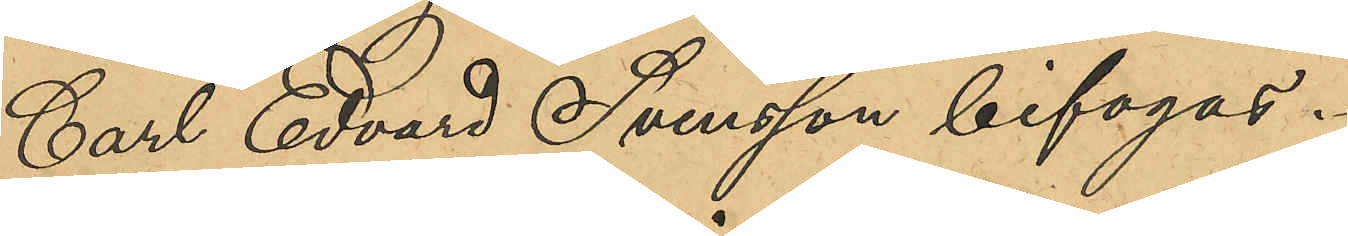Carl Edvard Svensson bifogas.
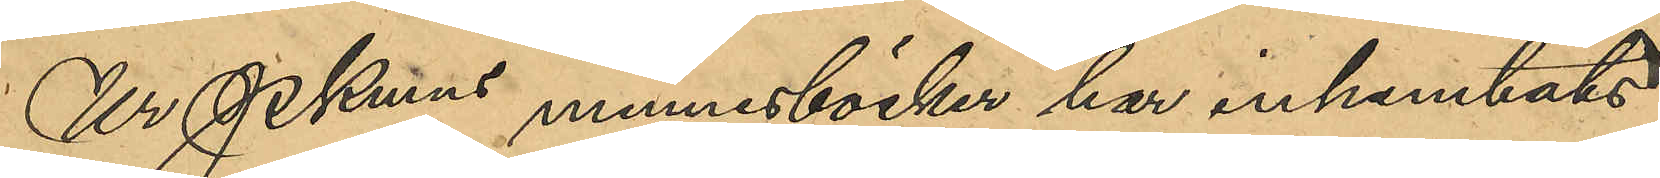Ur Pkmns minnesböcker har inhemtats
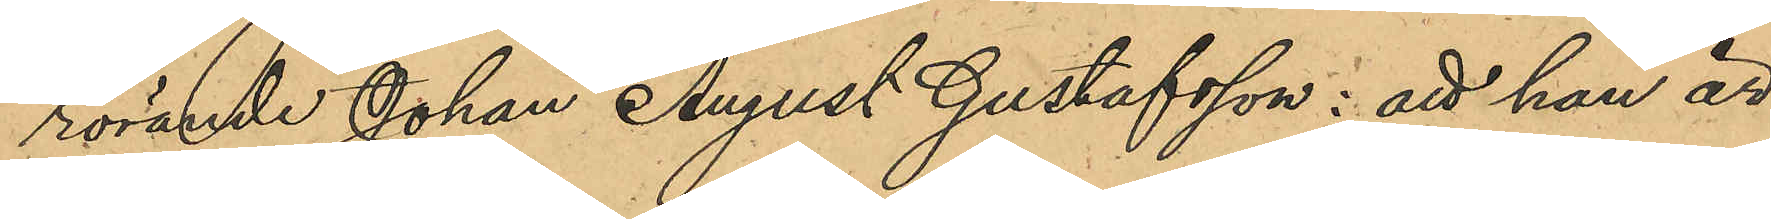rörande Johan August Gustafsson; att han är
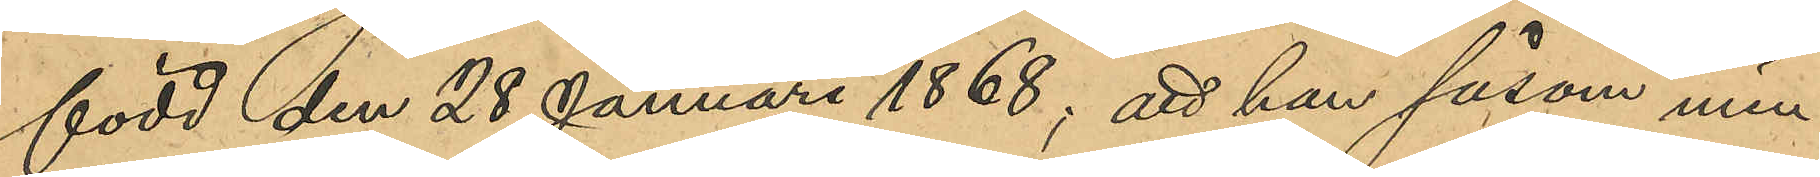född den 28 Januari 1868; att han såsom min¬
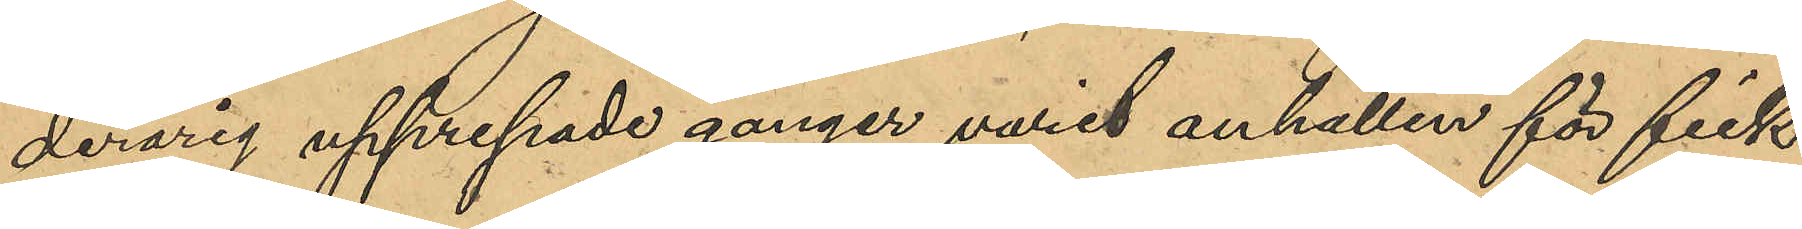derårig upprepade gånger varit anhållen för fick¬
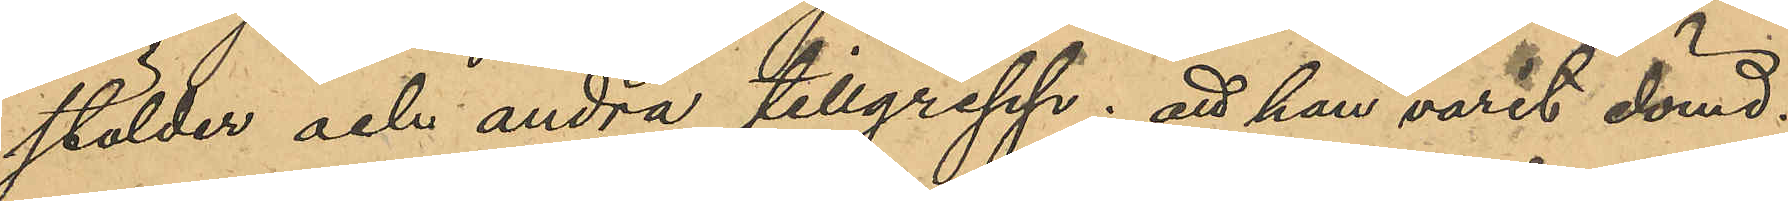stölder och andra tillgrepp; att han varit dömd:
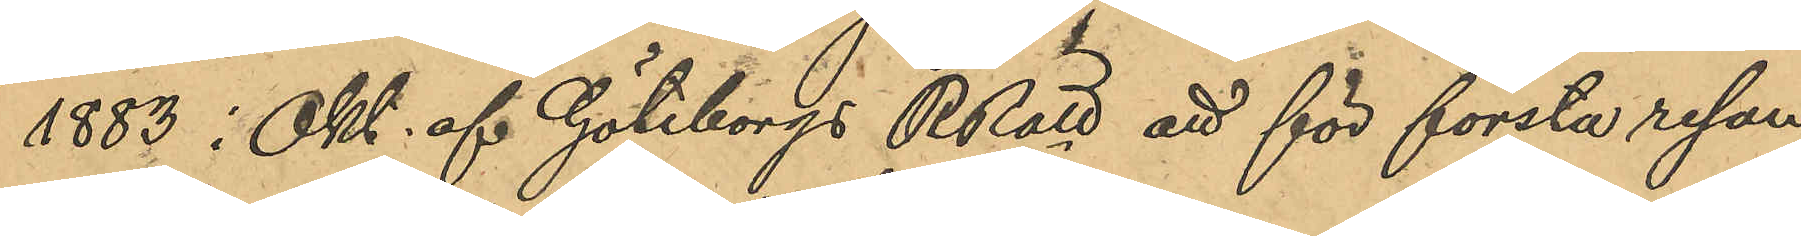1883 i Okt. af Göteborgs RRätt att för första resan
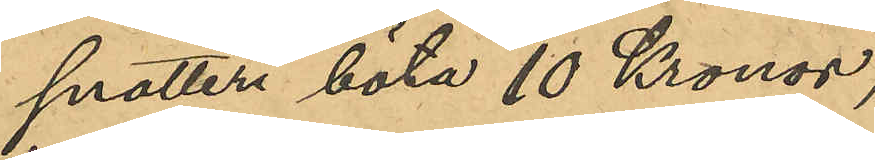snatteri böta 10 Kronor;
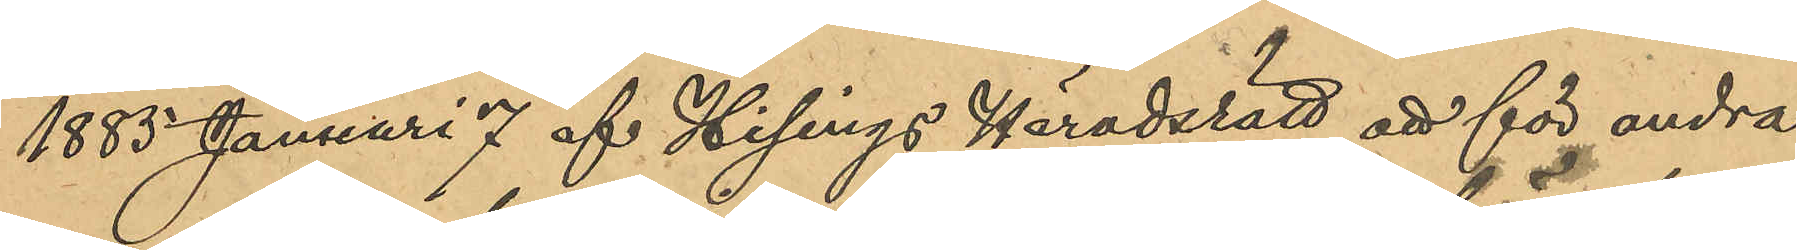1883 Januari 7 af Hisings Häradsrätt att för andra
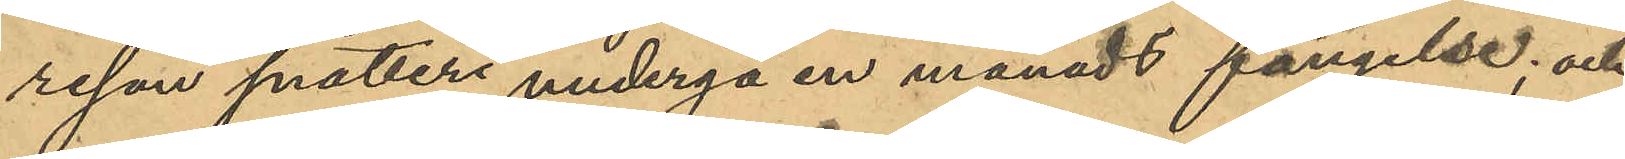resan snatteri undergå en månads fängelse; och
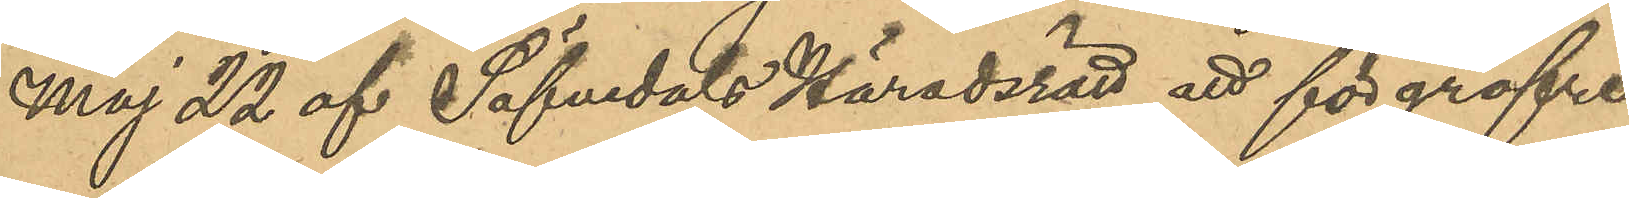Maj 22 af Säfvedals Häradsrätt att för gröfre
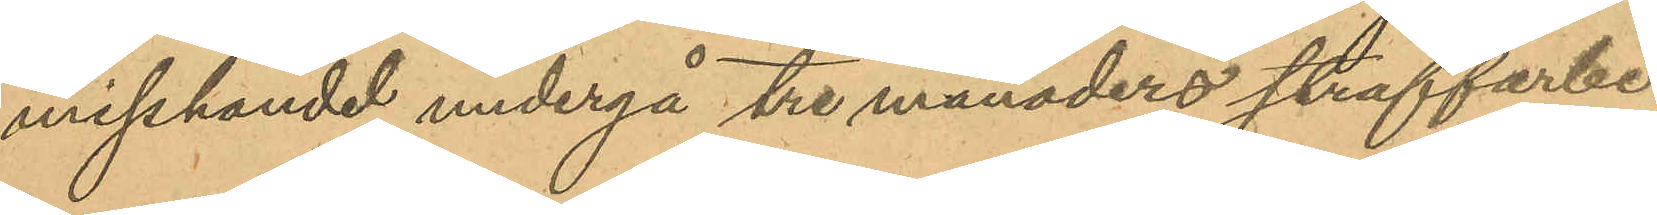misshandel undergå tre månaders straffarbete
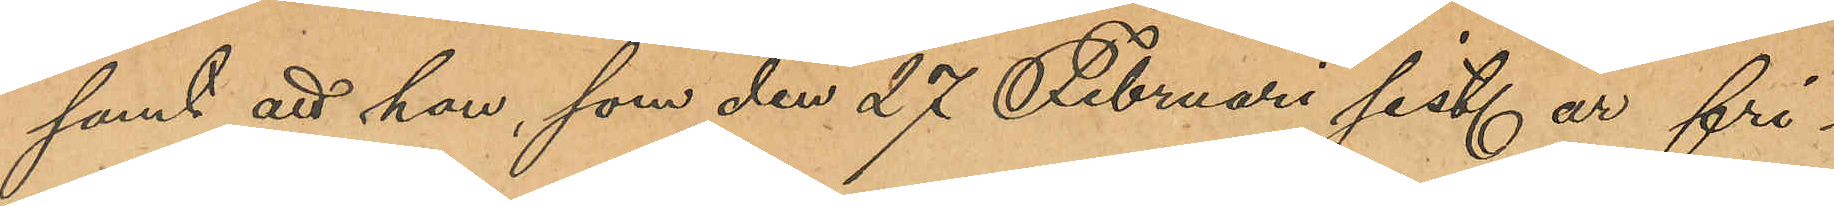samt att han, som den 27 Februari sist. år fri¬
